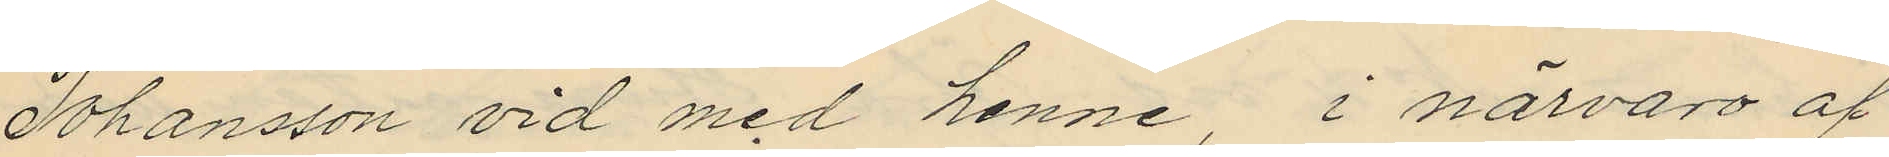Johansson vid med henne, i närvaro af
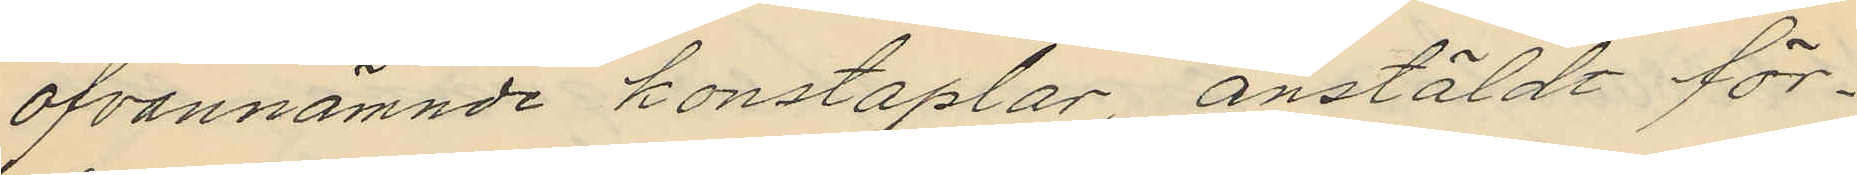ofvannämnde konstaplar, anstäldt för¬
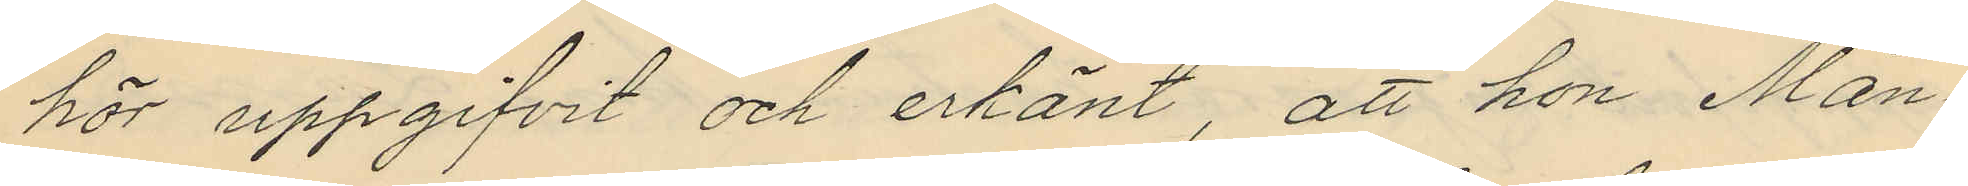hör uppgifvit och erkänt, att hon Mån¬
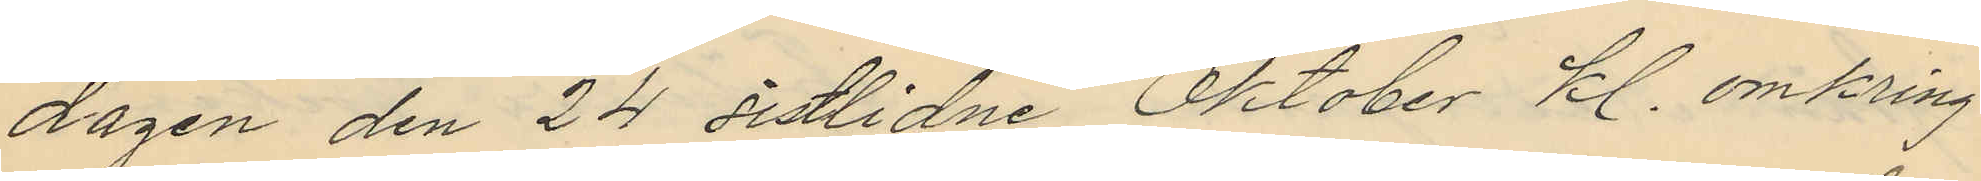dagen den 24 sistlidne Oktober kl. omkring
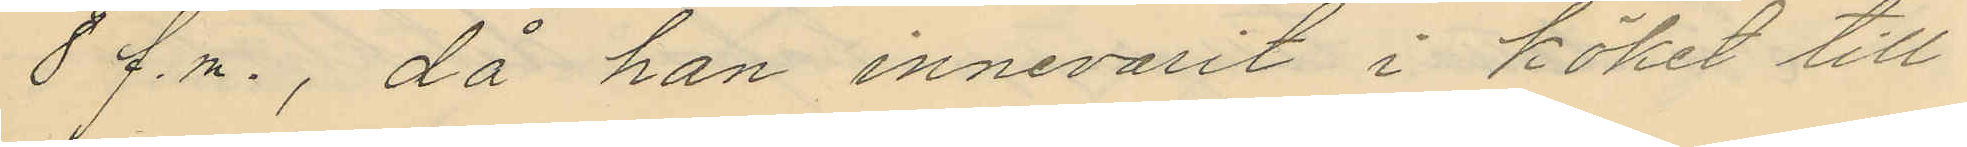8 f.m., då hon innevarit i köket till
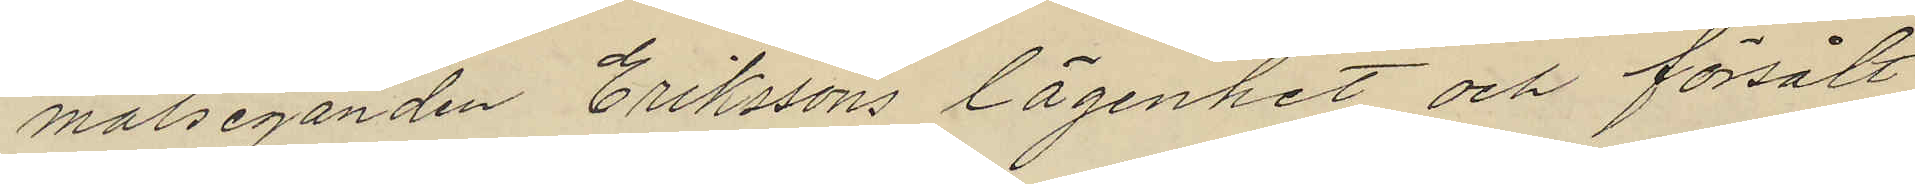målseganden Erikssons lägenhet och försålt
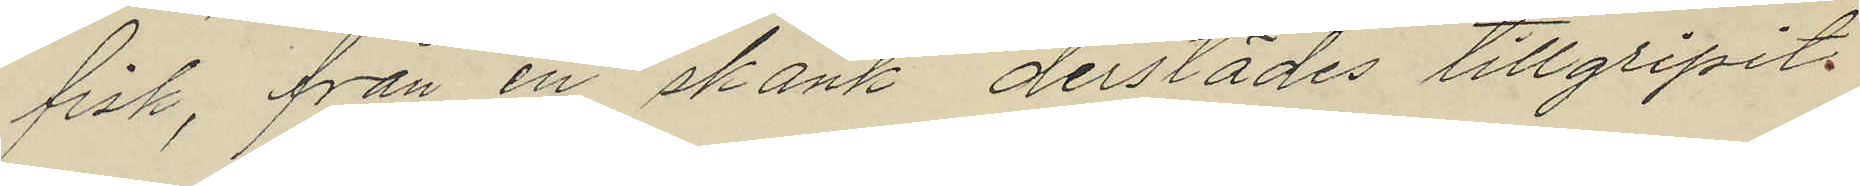fisk, från en skänk derstädes tillgripit
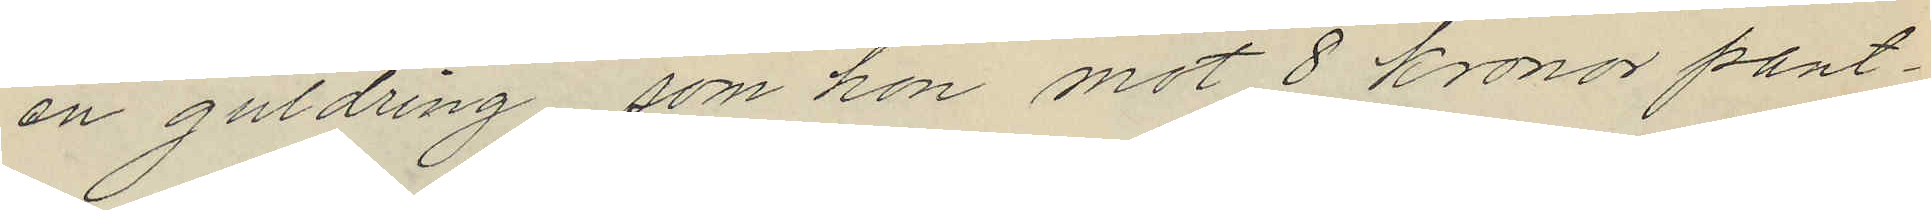en guldring, som hon mot 8 kronor pant¬
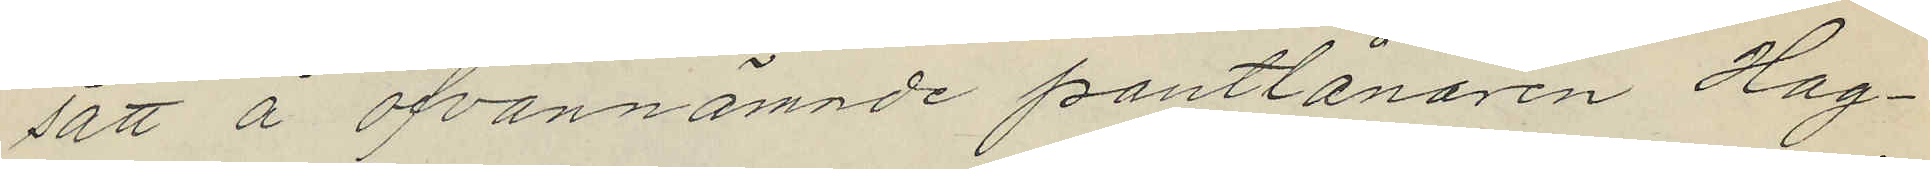satt å ofvannämnde pantlånaren Hag¬
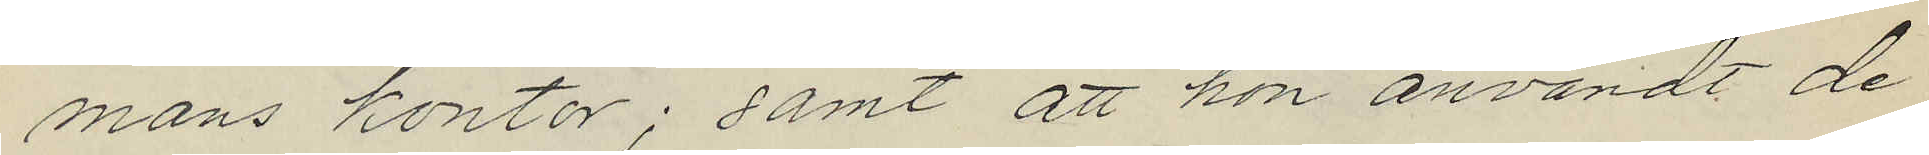mans kontor; samt att hon användt de
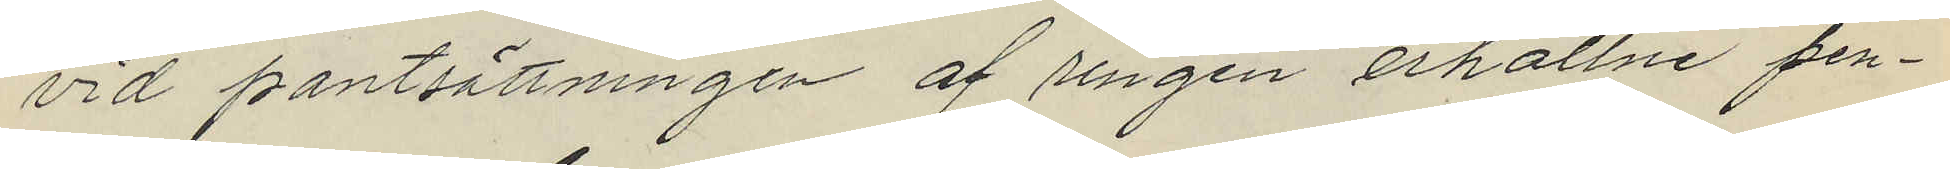vid pantsättningen af ringen erhållne pen¬
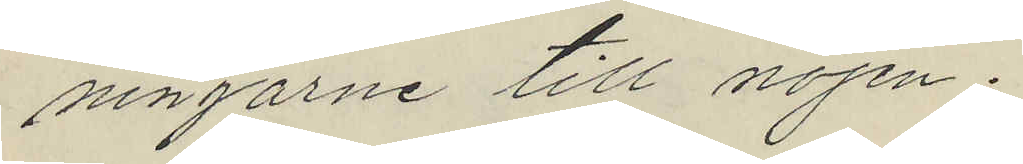ningarne till nöjen.
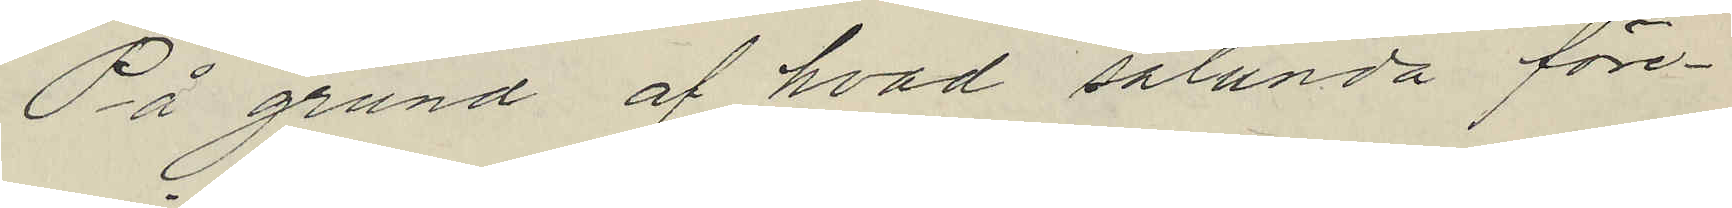På grund af hvad sålunda före¬
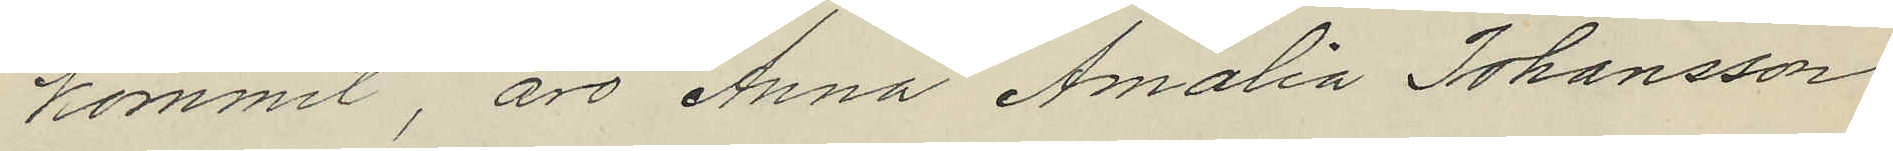kommit, äro Anna Amalia Johansson
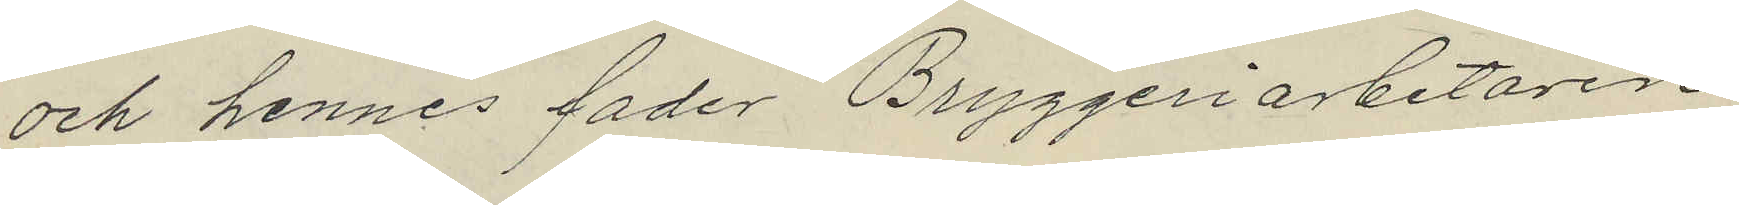och hennes fader Bryggeriarbetaren
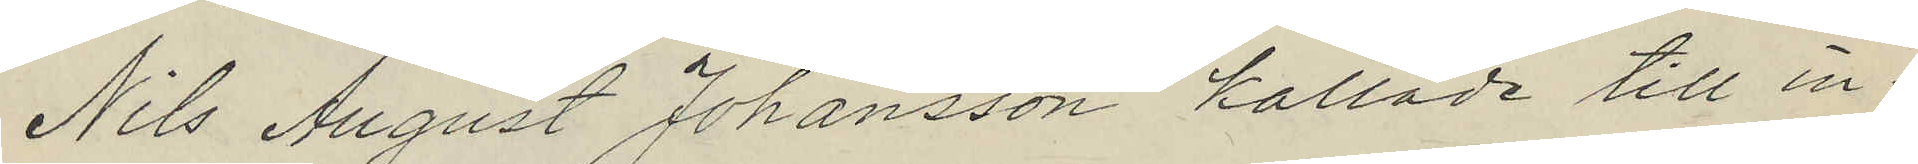Nils August Johansson kallade till in¬
